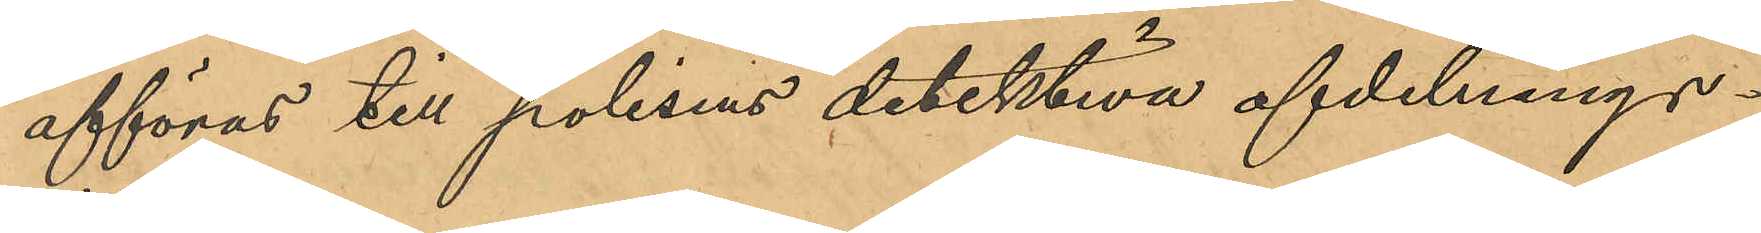afföras till polisens detektiva afdelnings¬
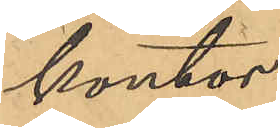kontor.
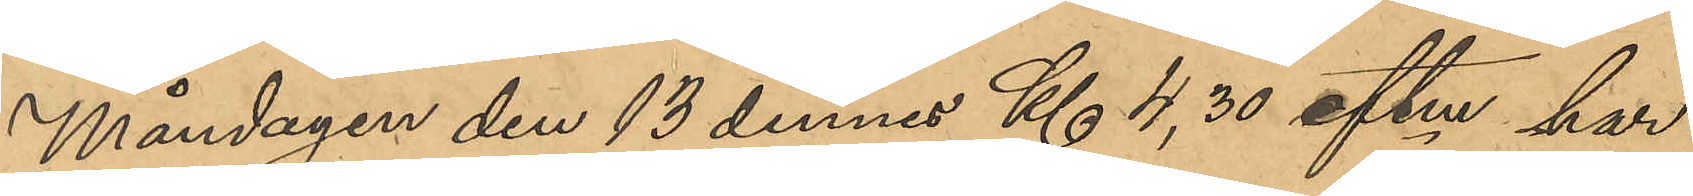Måndagen den 13 dennes Kl 4,30 eftm har
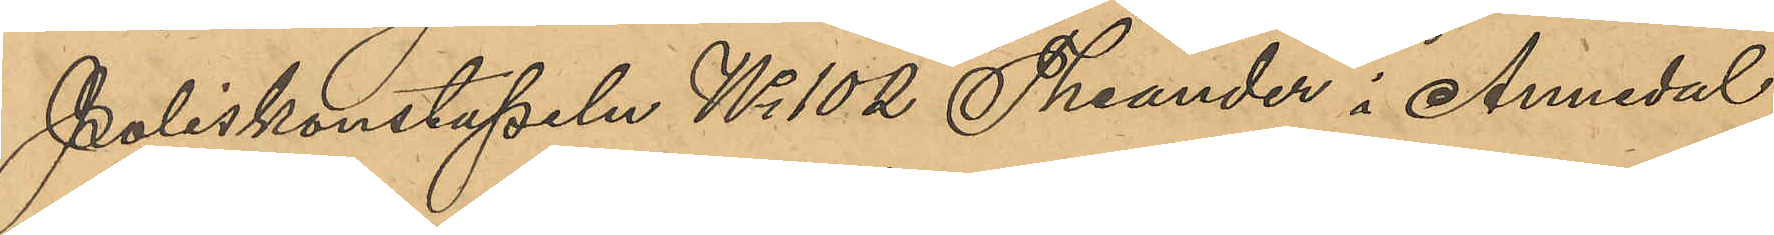Poliskonstapeln No 102 Theander i Annedal
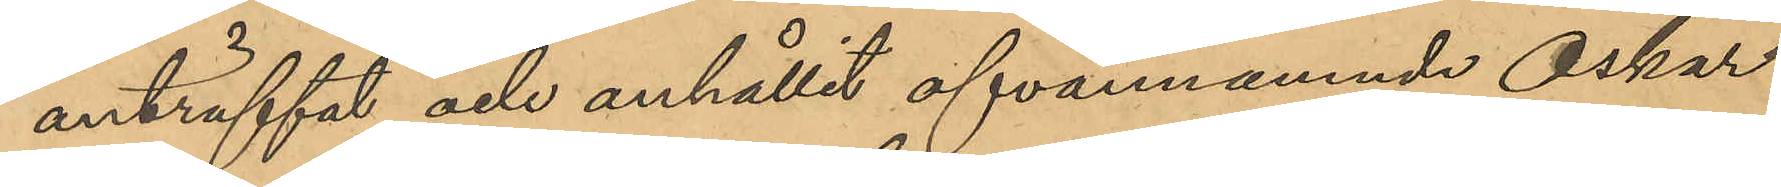anträffat och anhållit ofvannämnde Oskar
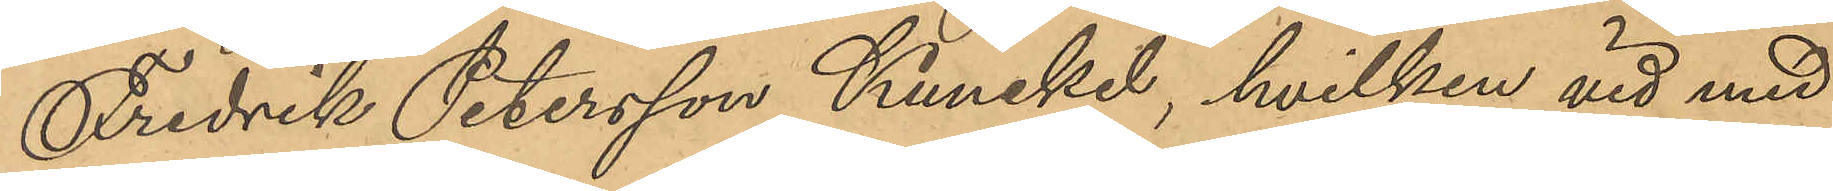Fredrik Petersson Kunckel, hvilken vid med
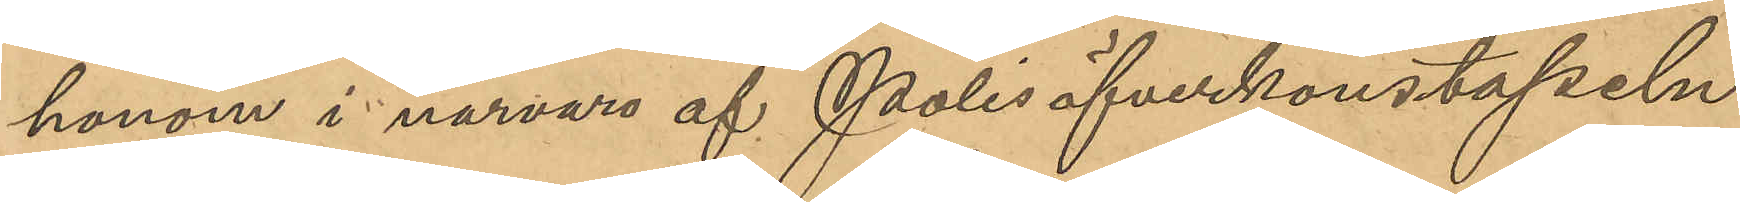honom i närvaro af Polisöfverkonstapeln
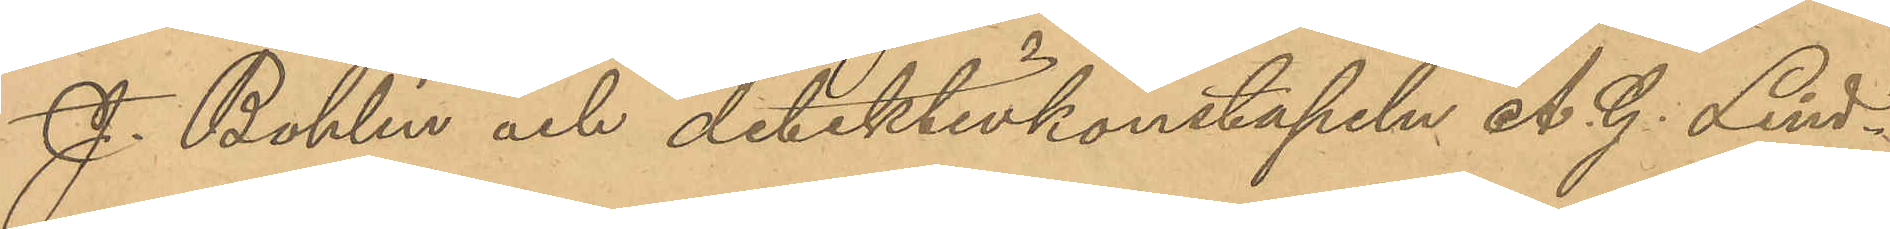J. Bohlin och detektivkonstapeln A. G. Lind¬
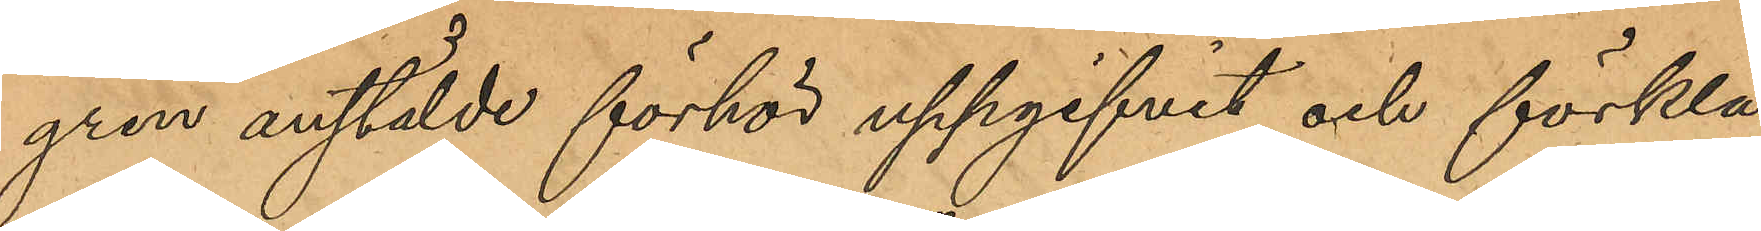gren anstälde förhör uppgifvit och förkla¬
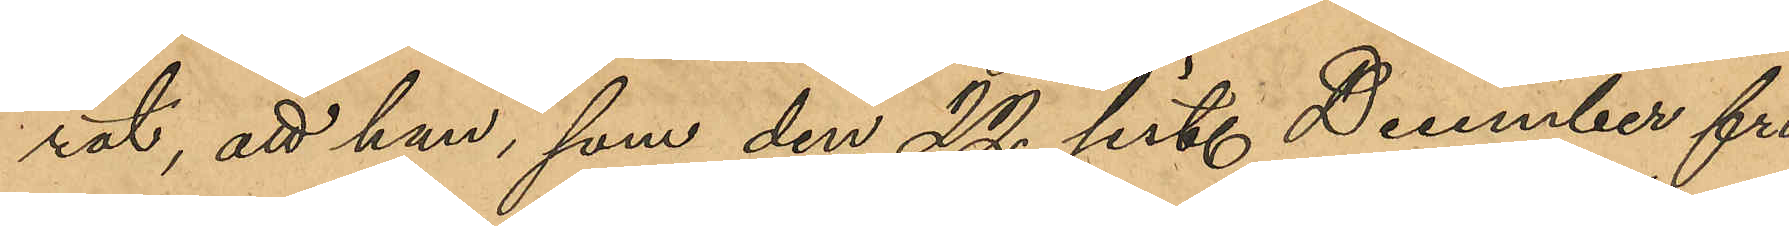rat, att han, som den 22 sist. December fri¬
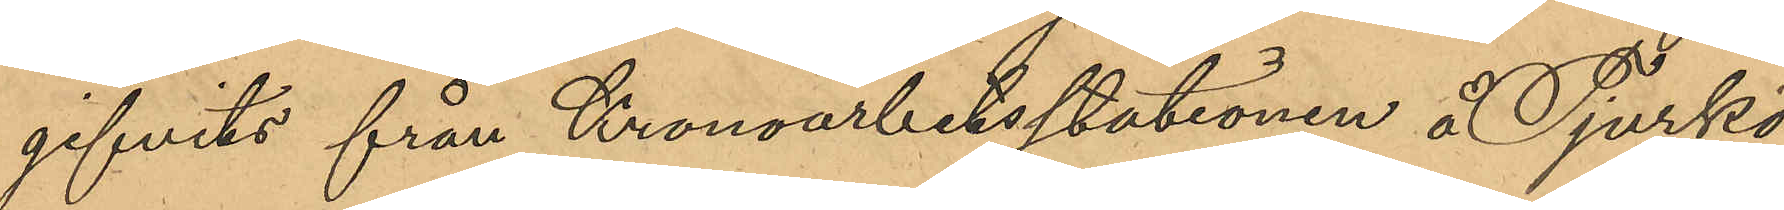gifvits från Kronoarbetsstationen å Tjurkö
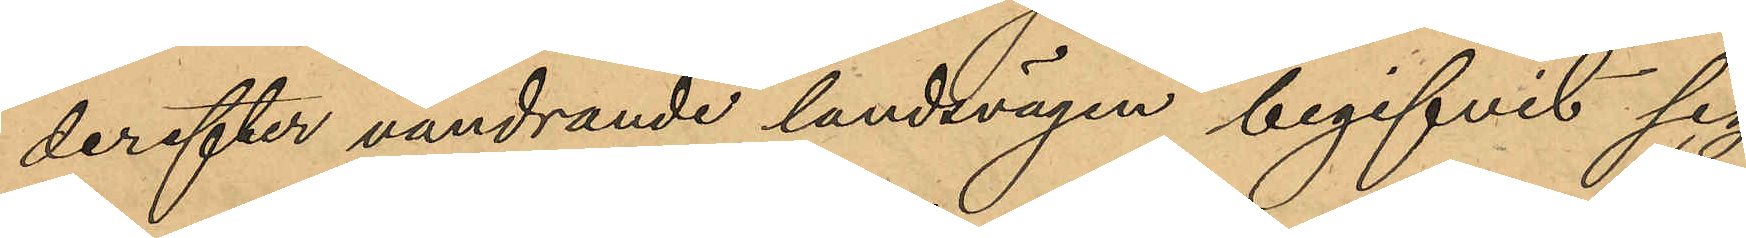derefter vandrande landsvägen begifvit sig
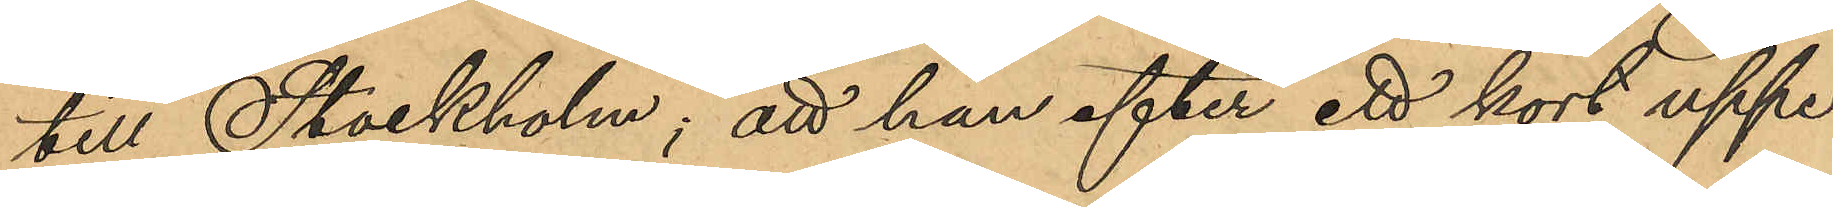till Stockholm; att han efter ett kort uppe¬
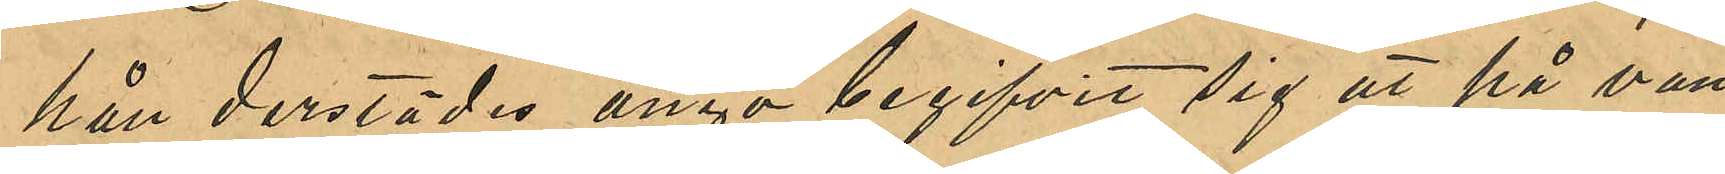håll derstädes ånyo begifvit sig ut på van¬
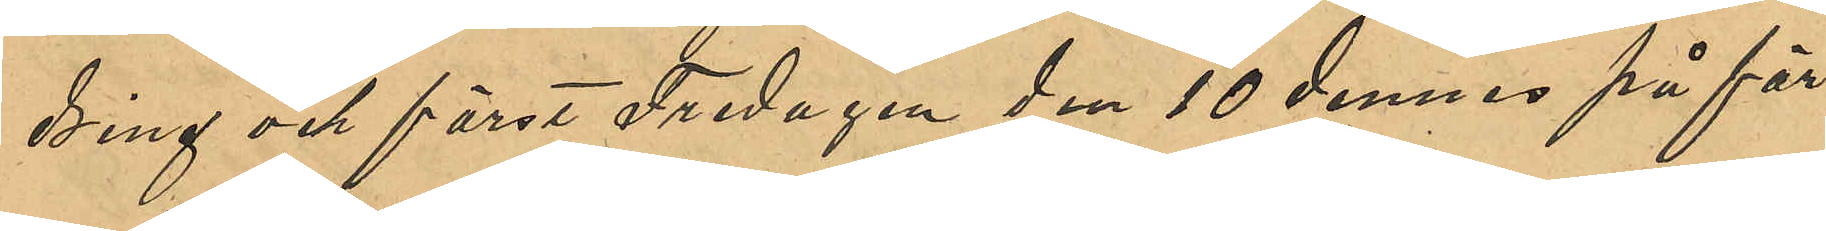dring och först Fredagen den 10 dennes på för¬
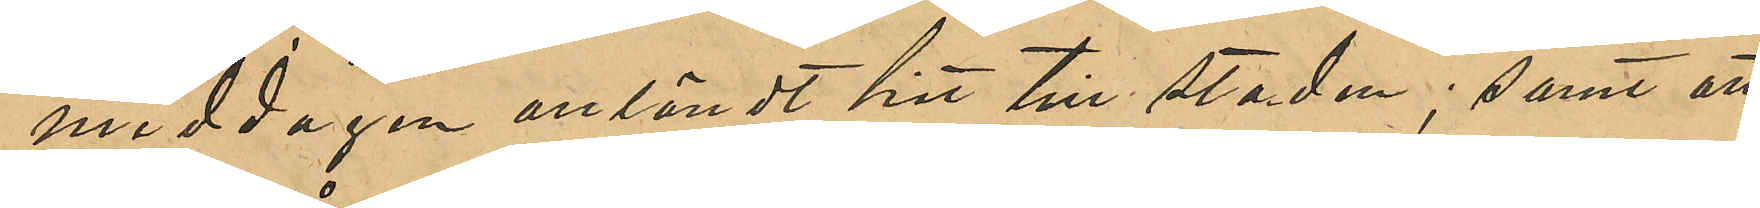middagen anländt hit till staden; samt att
